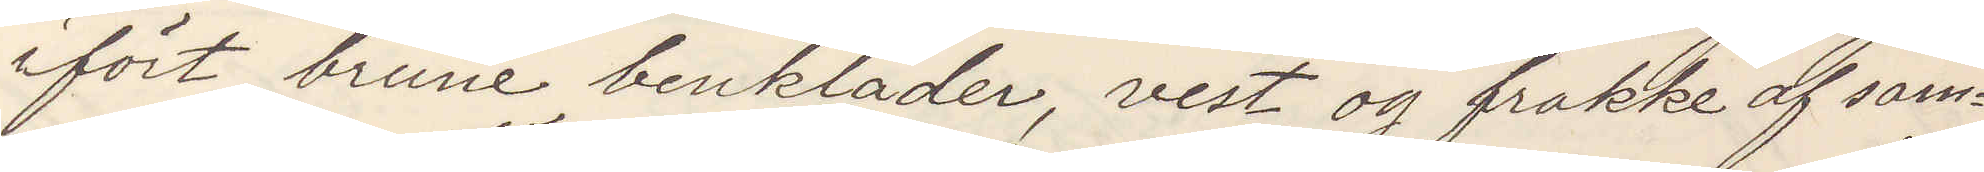ifört brune benkläder, vest og frakke af sam¬
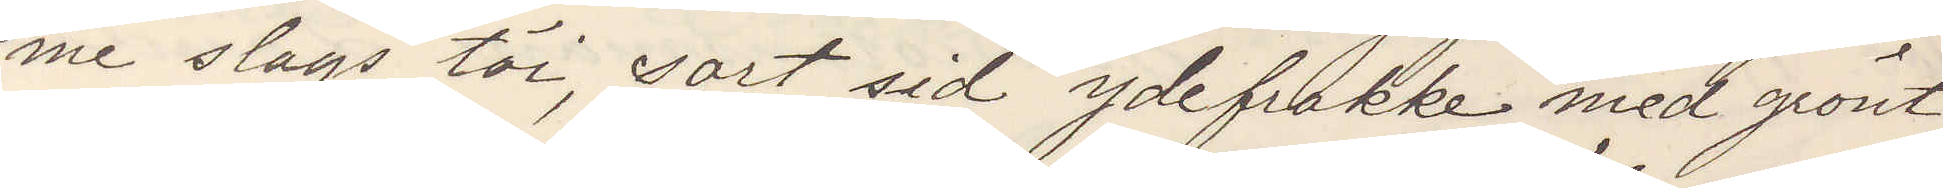me slags töi, sort sid ydefrakke med grönt
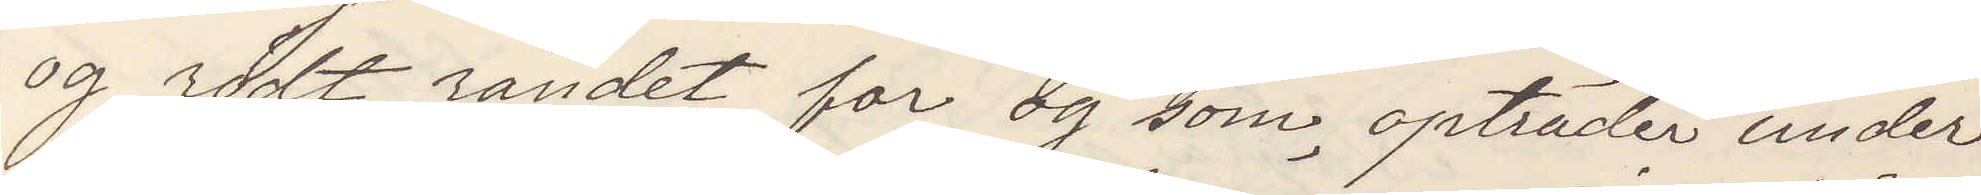og rödt randet for og som opträder under
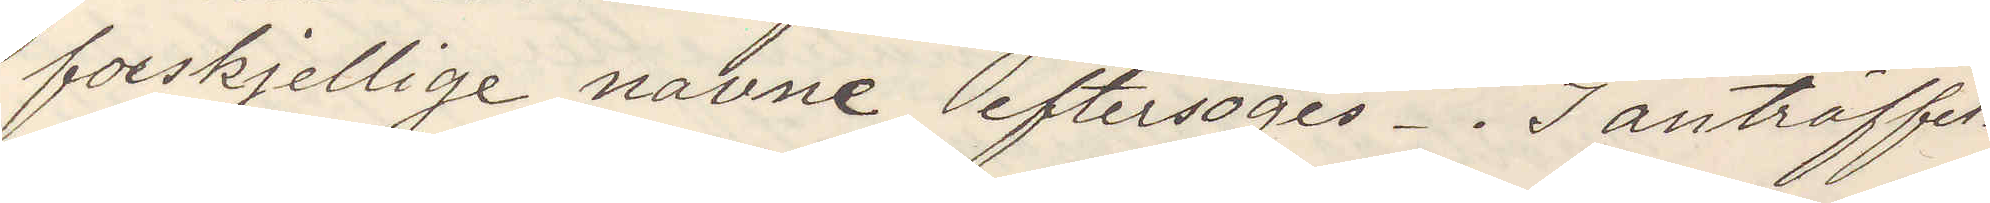forskjellige navne, eftersöges. I anträffel¬
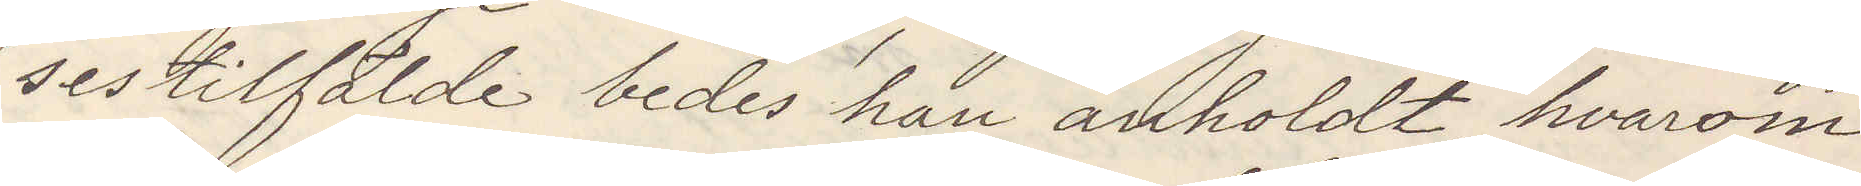sestilfälde bedes han anholdt, hvarom
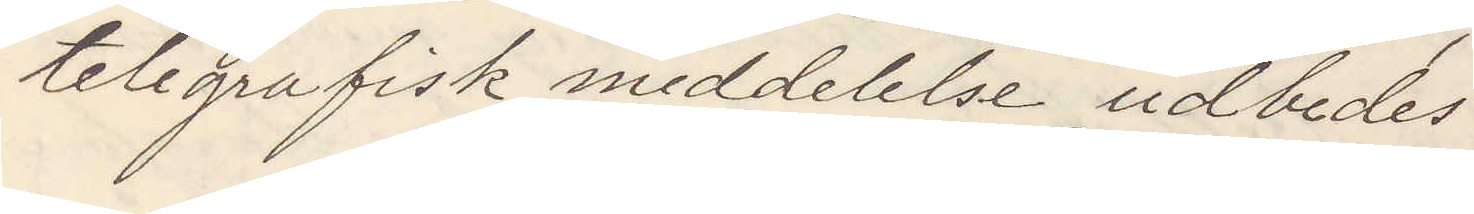telegrafisk meddelelse udbedes.
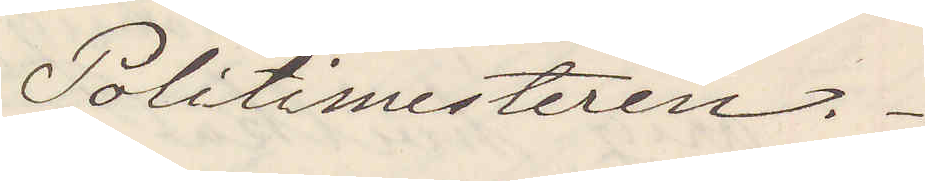Politimesteren.
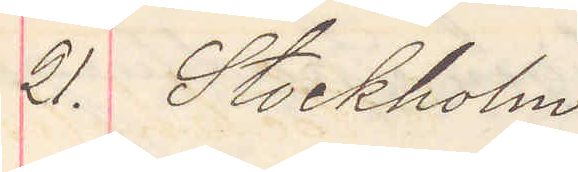21. Stockholm
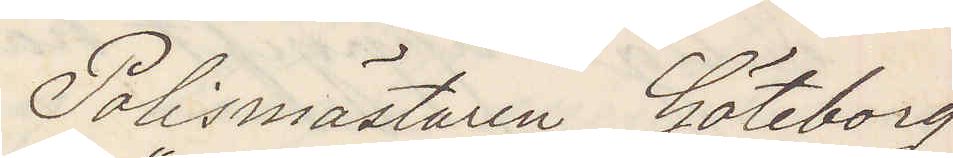Polismästaren Göteborg
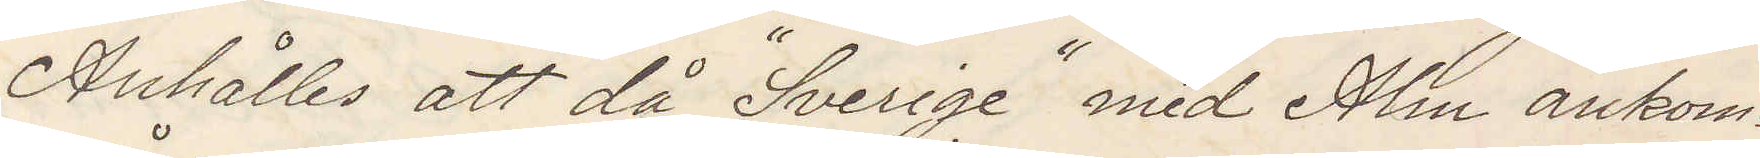Anhålles att då "Sverige" med Alm ankom¬
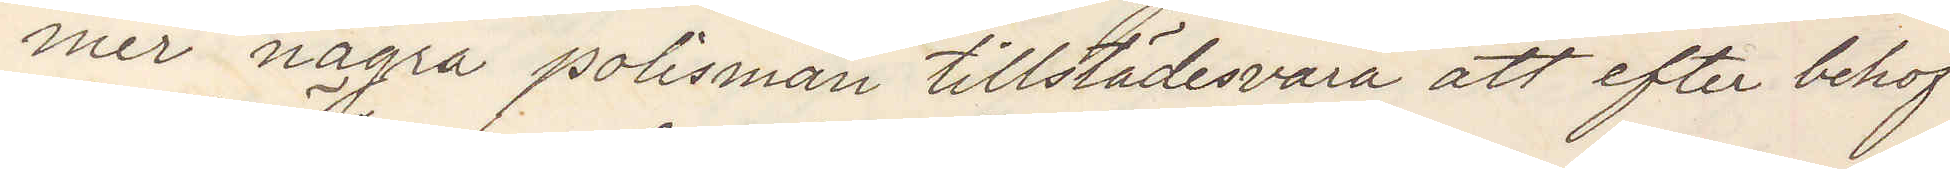mer några polismän tillstädesvara att efter behof
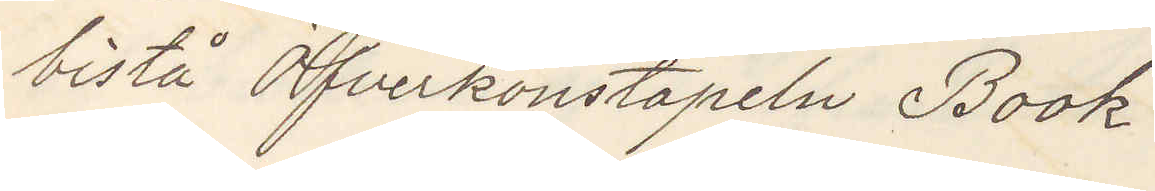bistå Öfverkonstapeln Book.
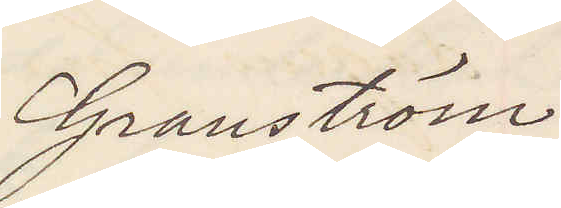Granström.
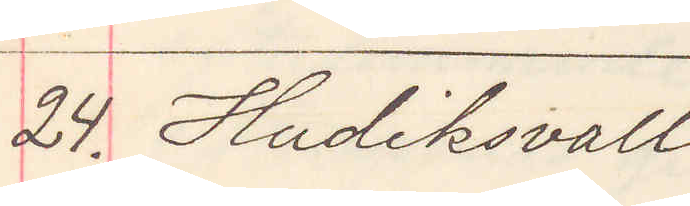24. Hudiksvall
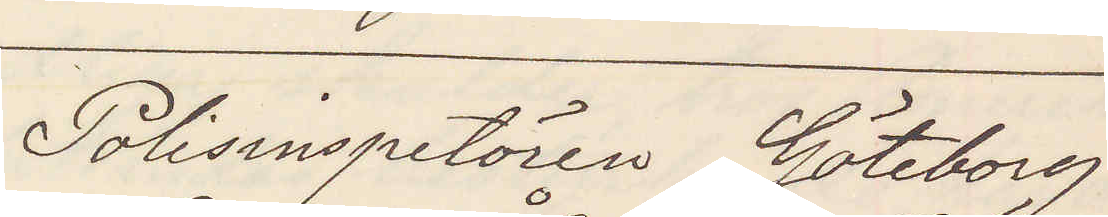Polisinspetören Göteborg
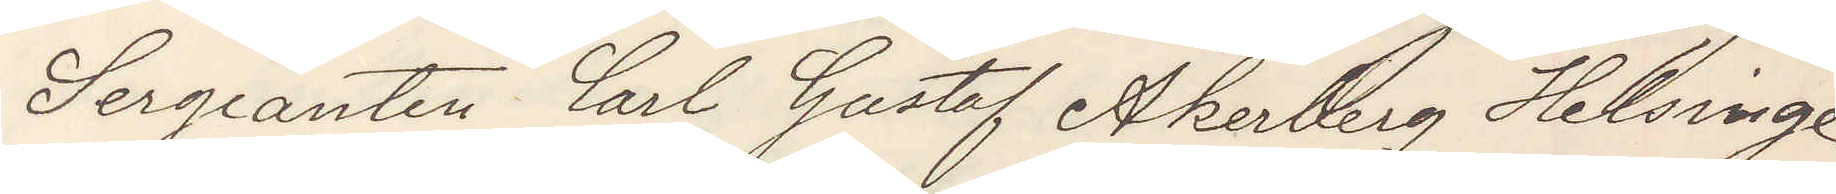Sergeanten Carl Gustaf Åkerberg Helsinge
